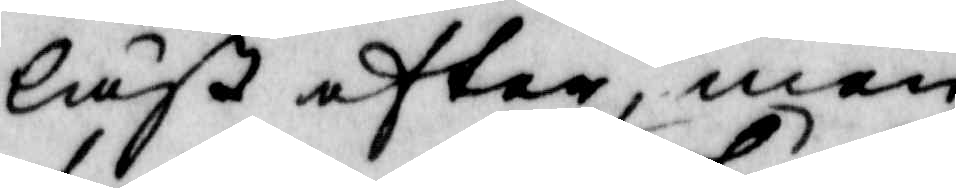läst efter, men 
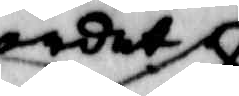ordet
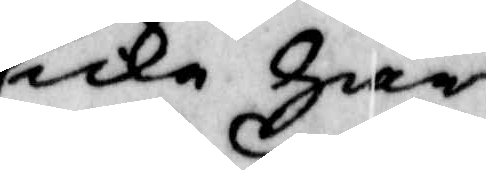icke har
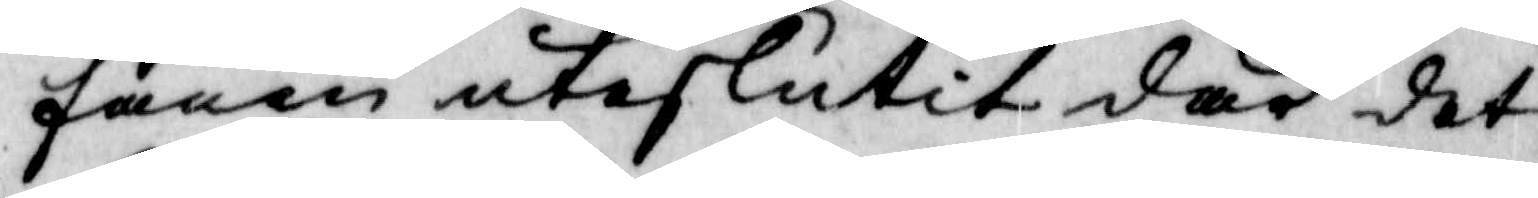fanen uteslutit där det
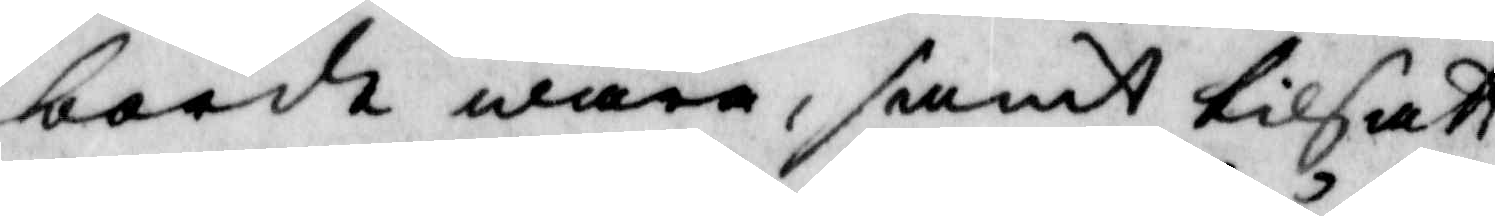bordt wara, samt tilsatt
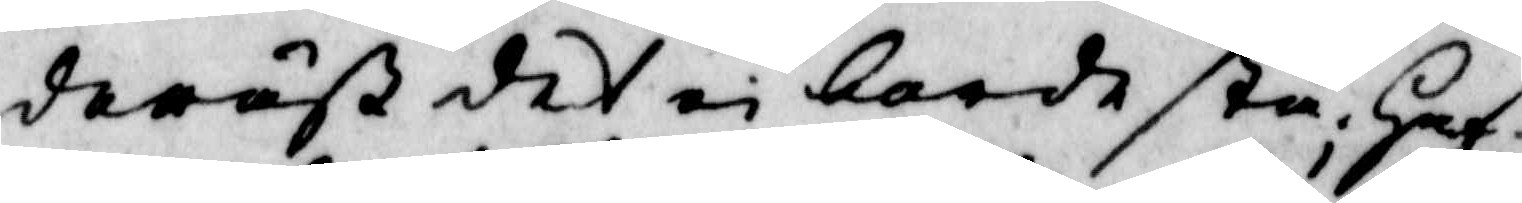deräst det ei borde stå, Haf¬
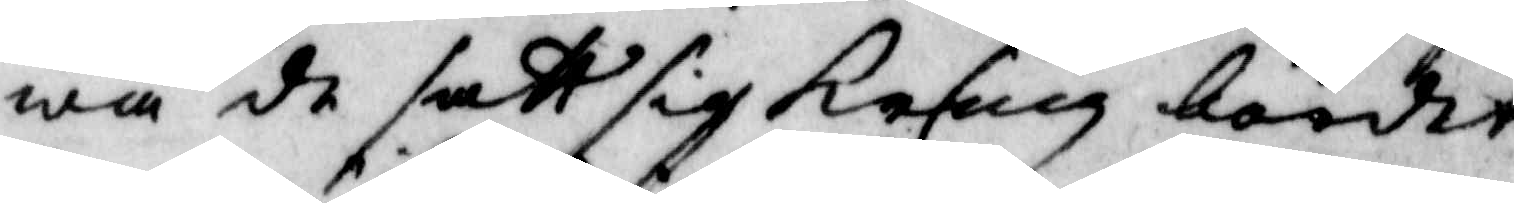wa de satt sig kring bordet
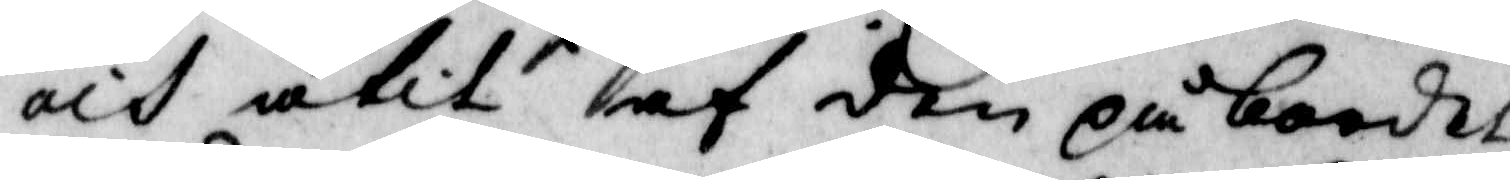och ätit af den på bordet
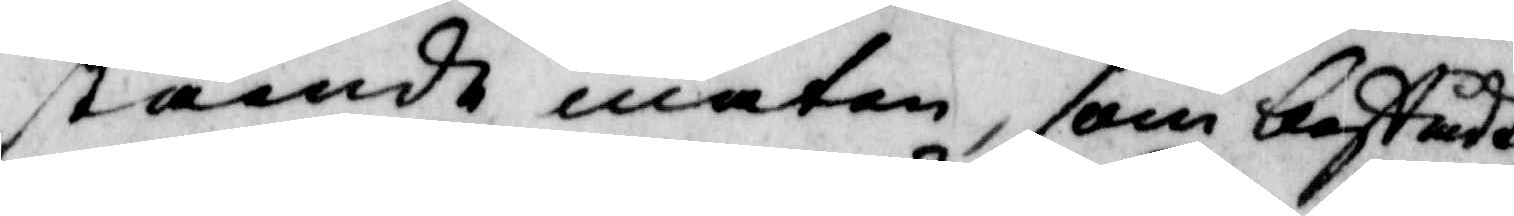stående maten, som bestådt
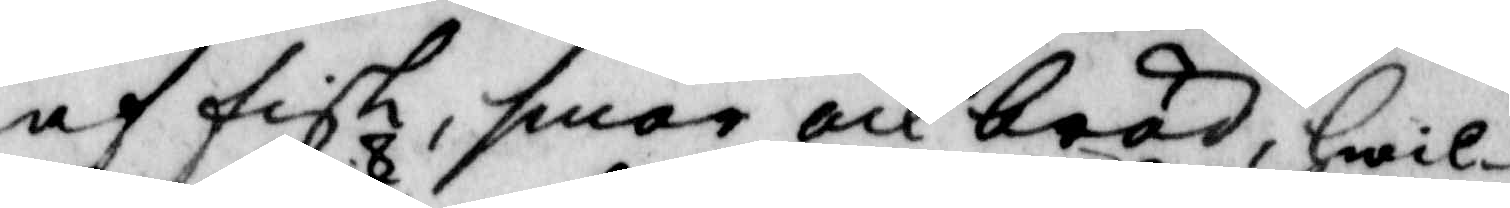af fisk, smör och bröd, Hwil¬
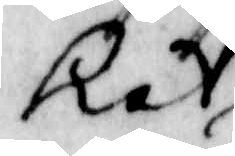ket 
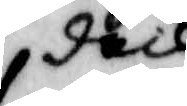dock
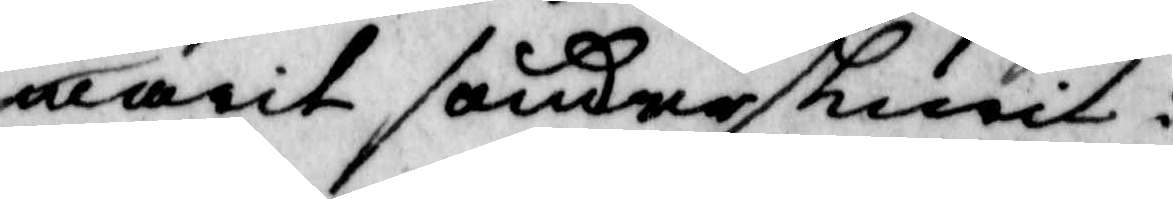warit sönderskurit i
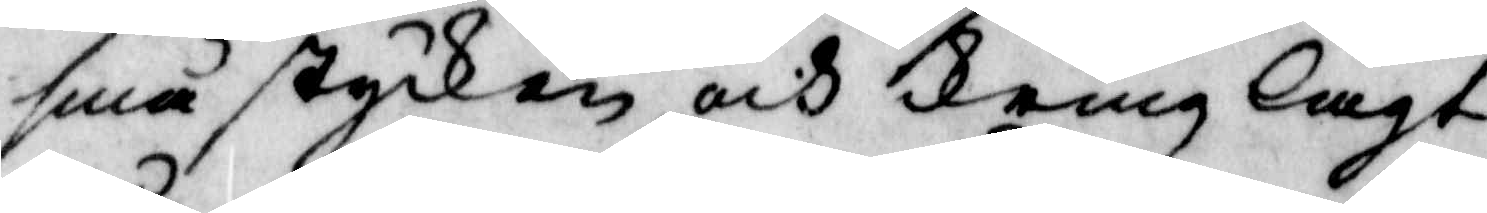små stycken och kring lagt
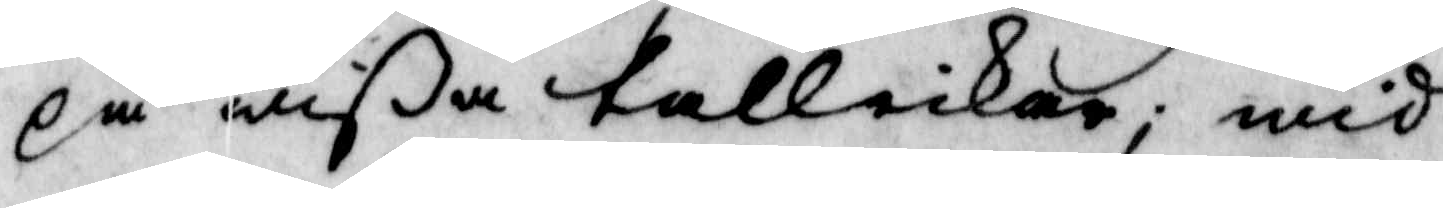på wißa tallickar; wid
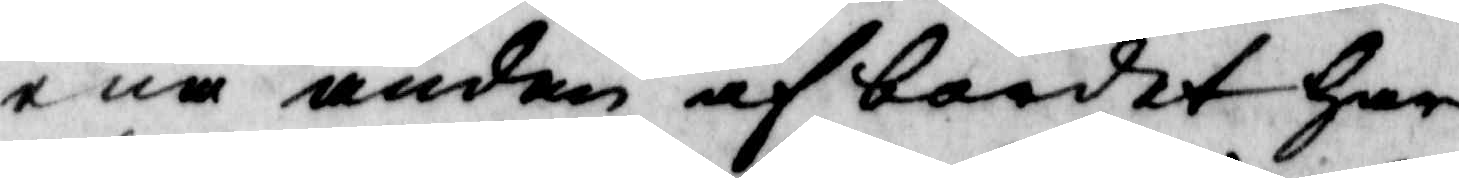ena änden af bordet har
